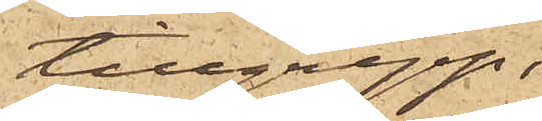tillgrepp;
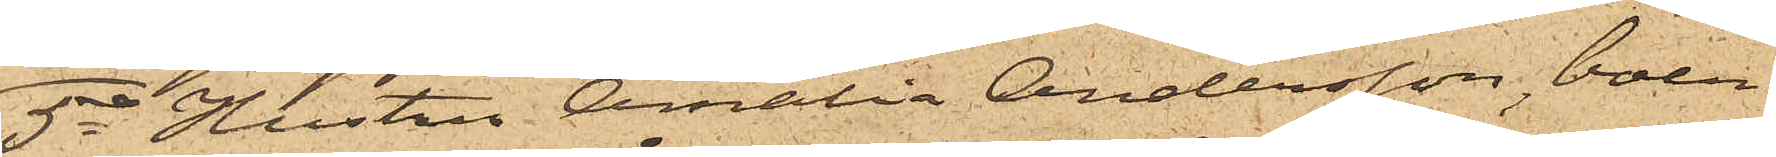5o Hustru Amalia Andersson, boen¬
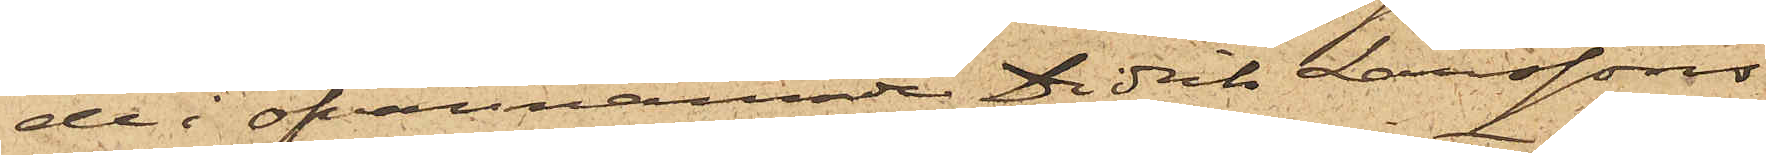de i ofvannämnde Didrik Larssons
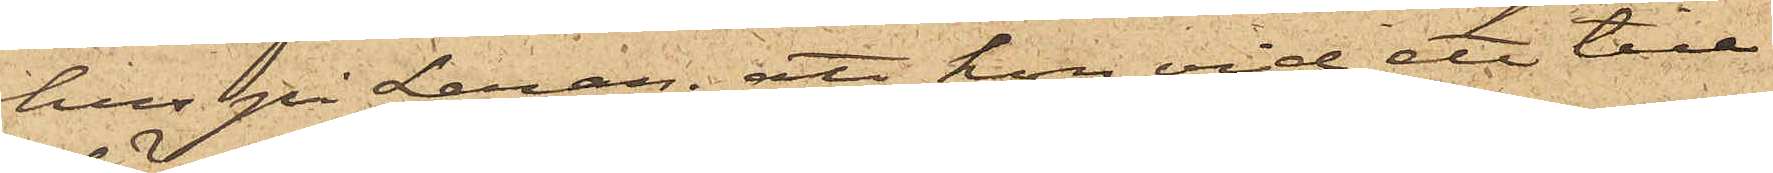hus på Leran; att hon vid ett till¬
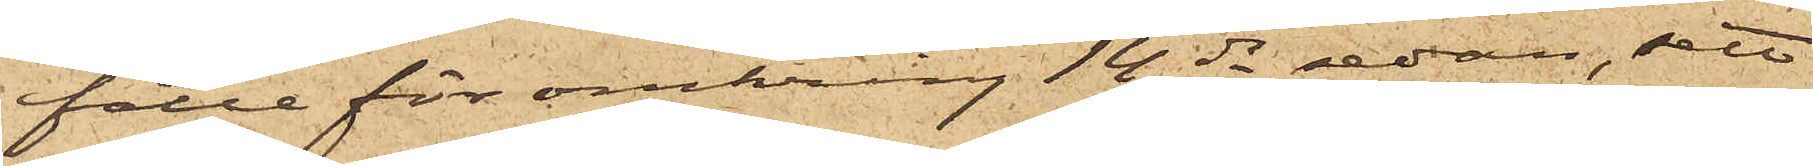fälle för omkring 14 dr sedan, sett
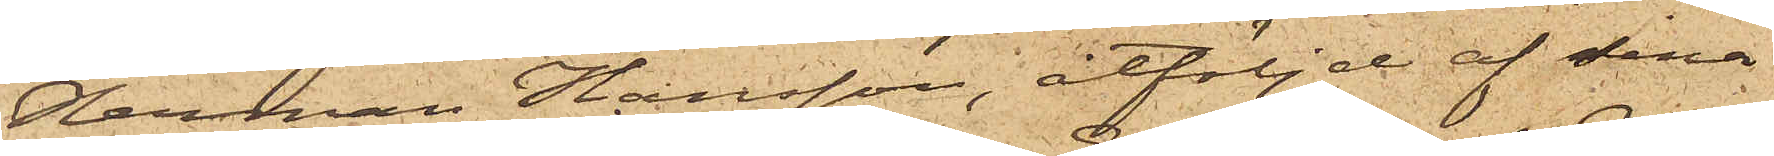Herman Hansson, åtföljd af sina
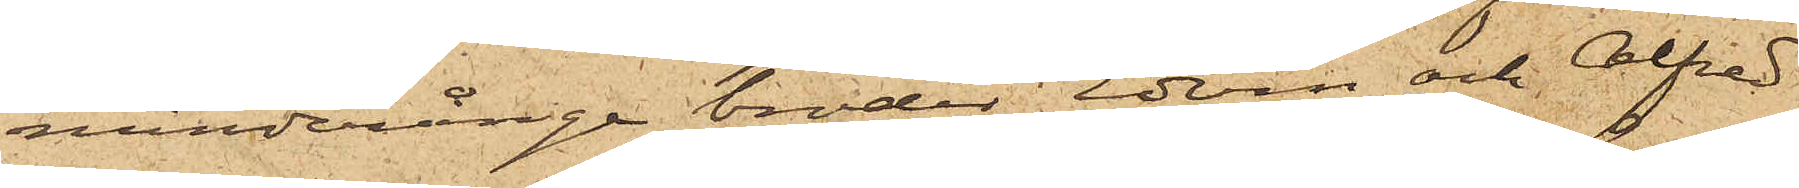minderårige bröder Edvin och Alfred
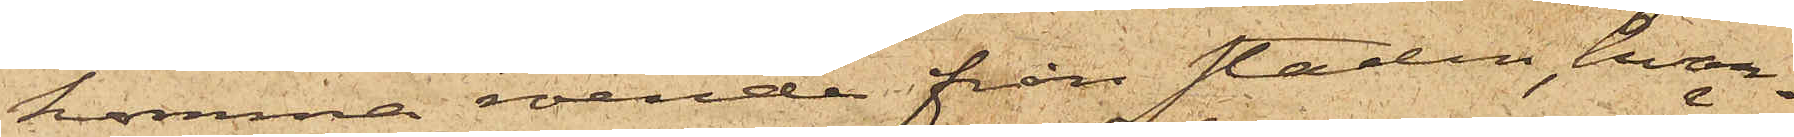komma roende från staden, hvar¬
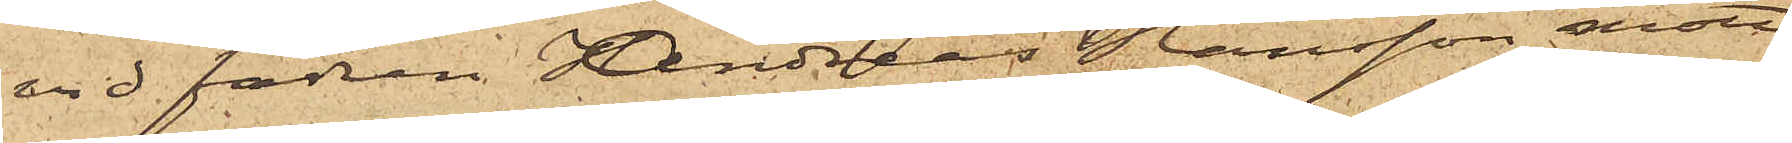vid fadren Andreas Hansson mött
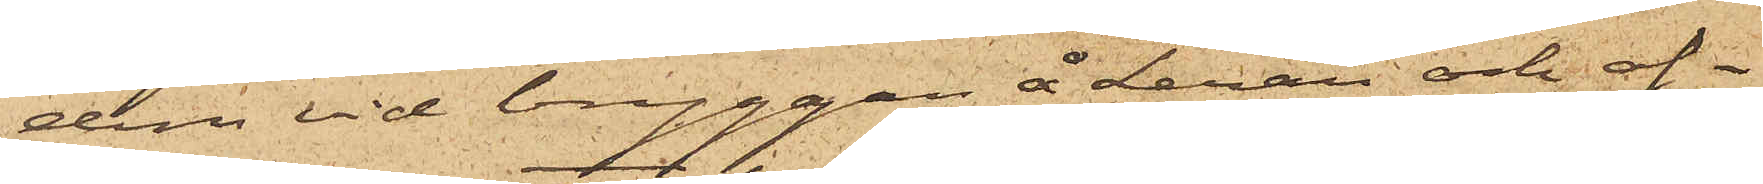dem vid bryggan å Leran och af¬
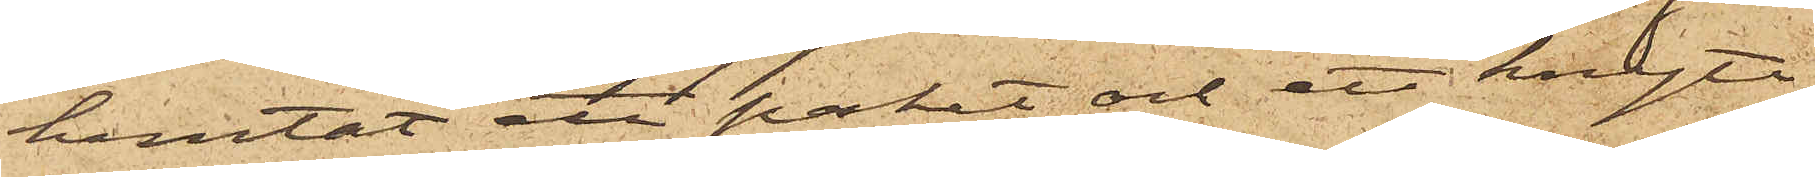hemtat ett paket och ett knyte,
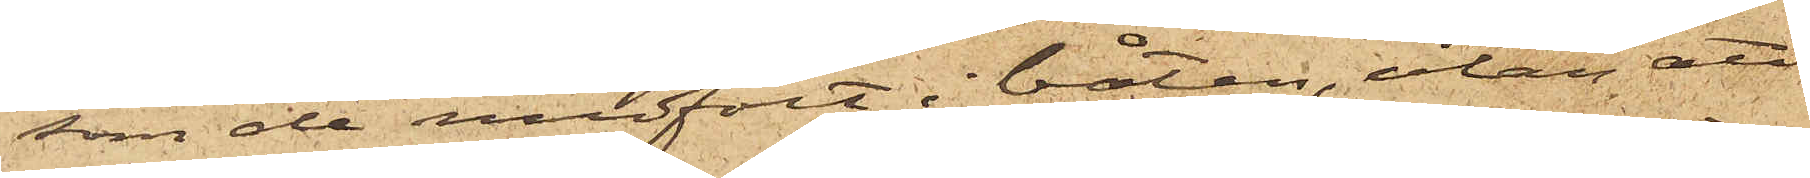som de medfört i båten, utan att
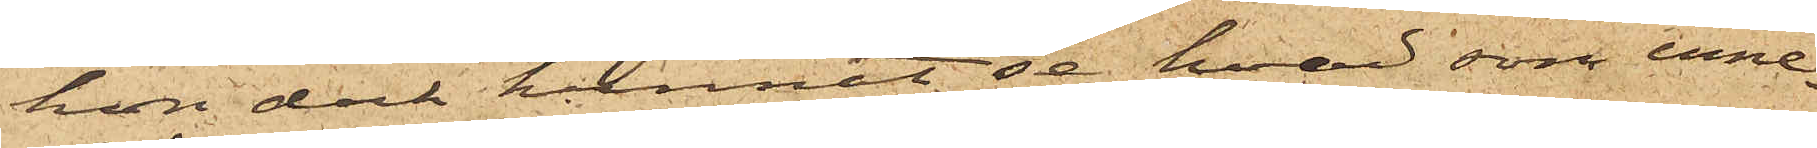hon dock kunnat se hvad som inne¬
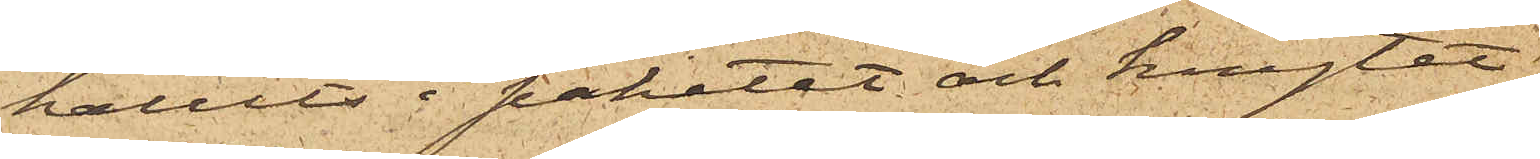hållits i paketet och knytet.
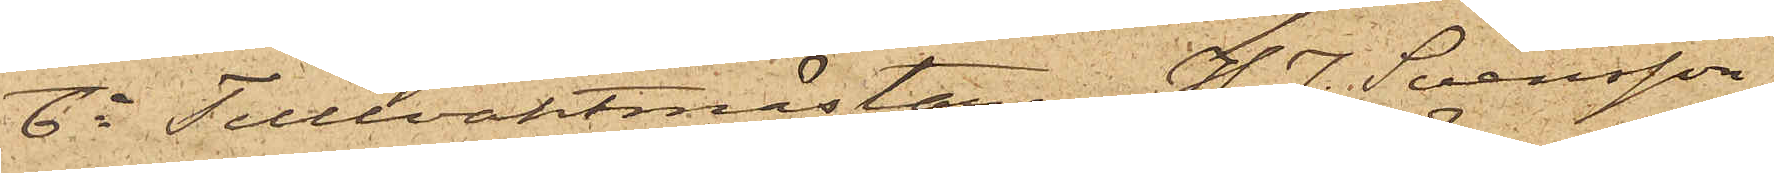6o Tullvaktmästaren H. J. Svensson
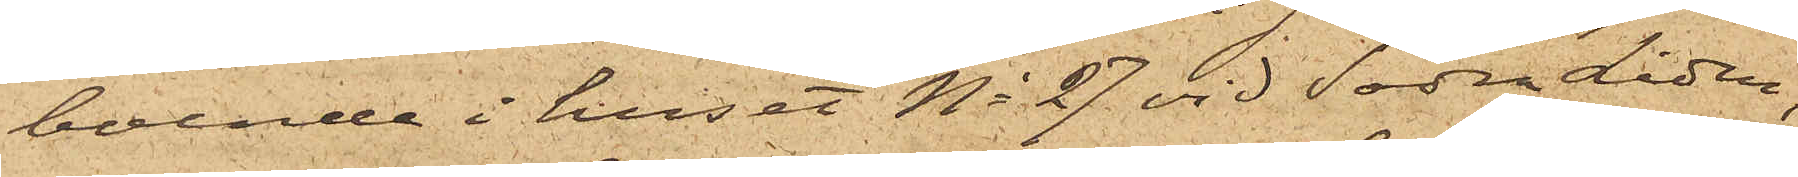boende i huset No 27 vid Södra Liden,
